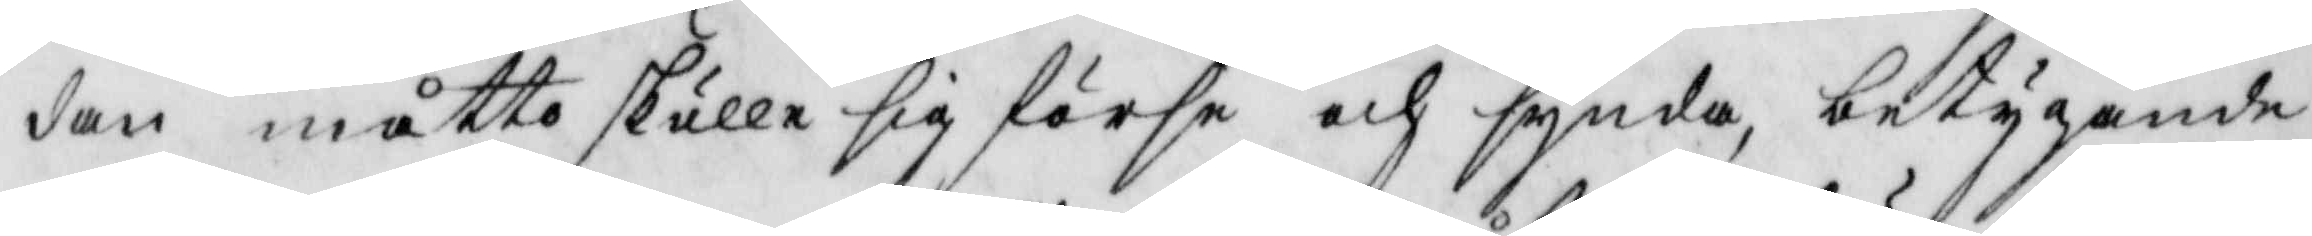dan måtto skulle sig förse och synda, betygande
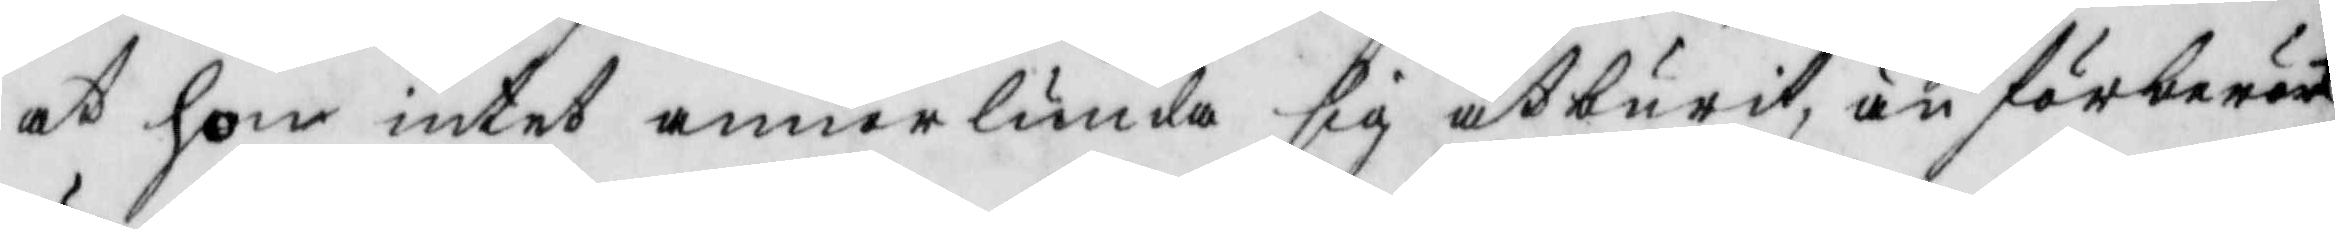at hon intet annorlunda sig åtburit, än förberört
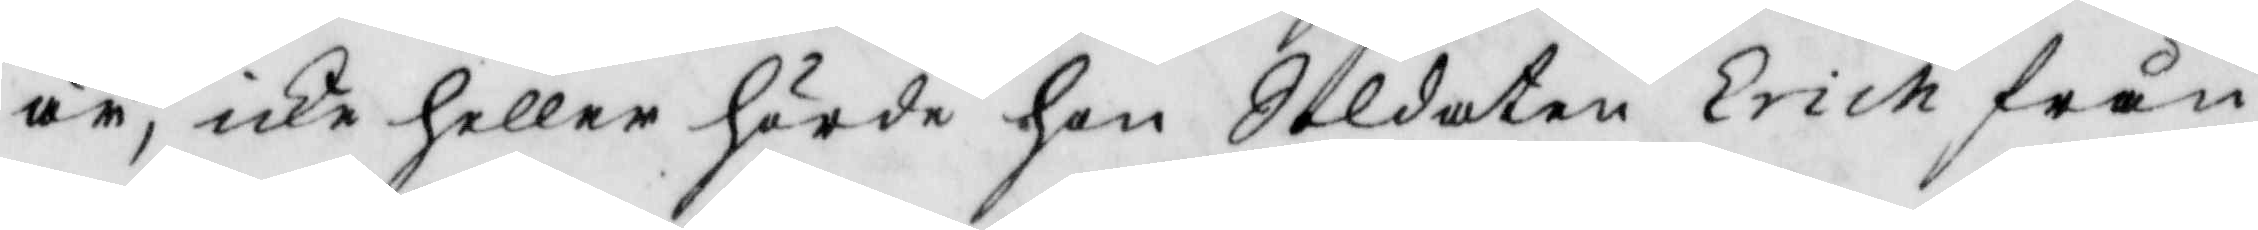är, icke heller hörde hon Soldaten Erich från
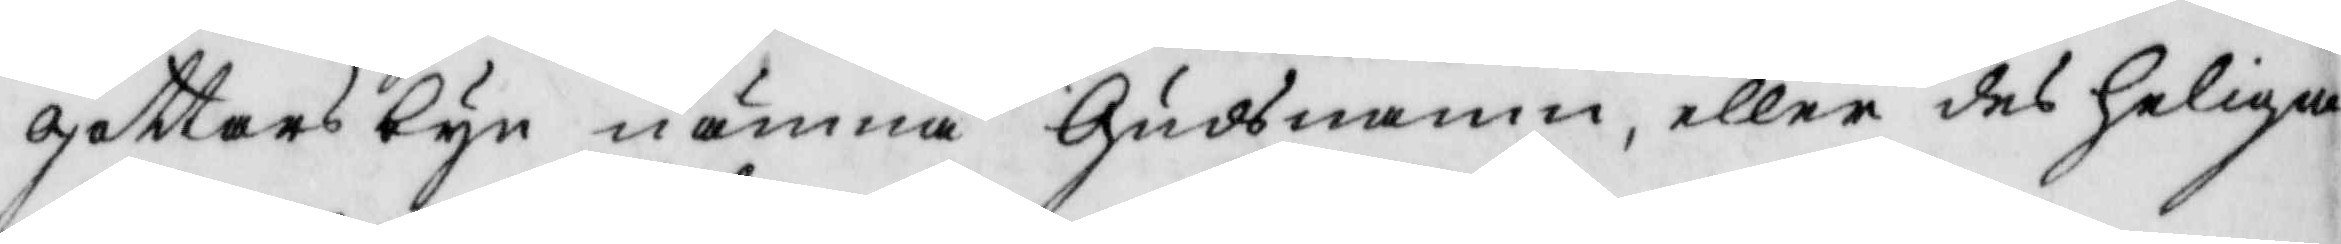gottarsbyn nämna Guds namn, eller des heliga
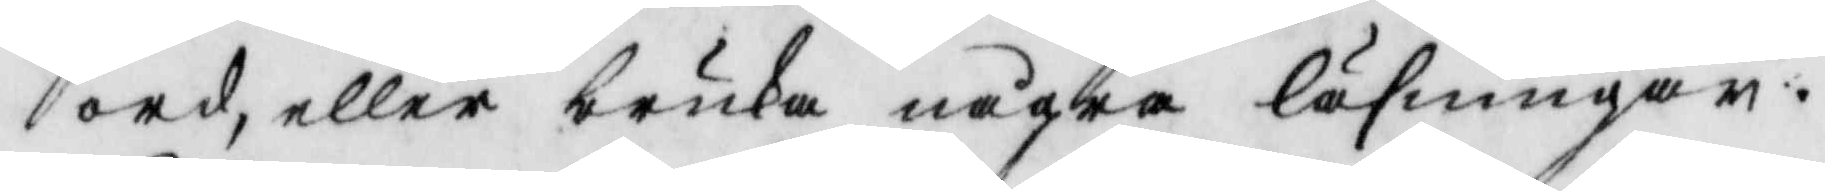ord, eller bruka några läsningar.
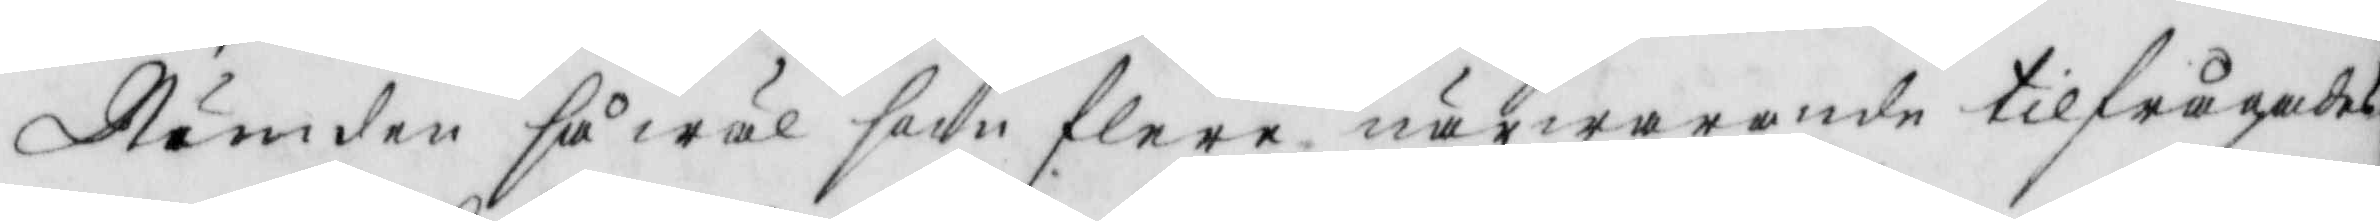Nämden så wäl som flera närwarande tilfrågades
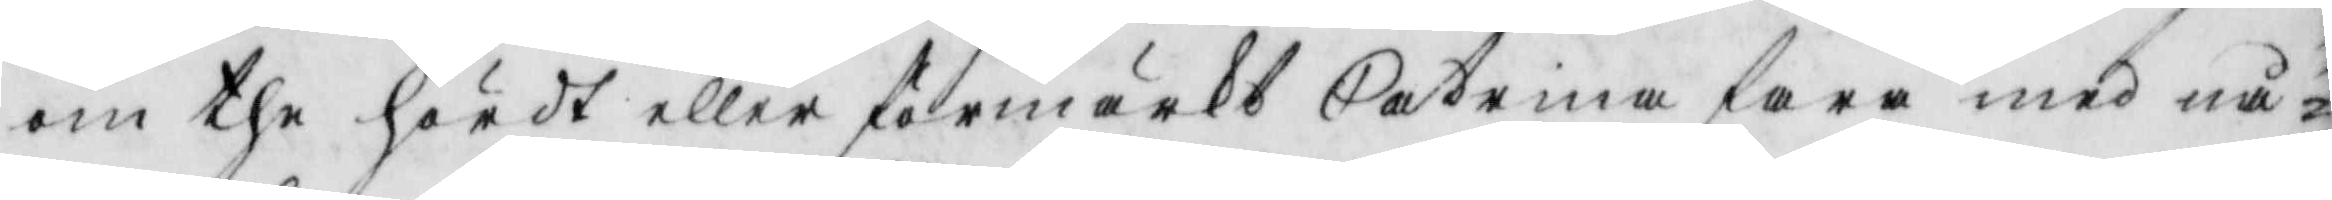om the hördt eller förmärkt Catrina fara med nå¬
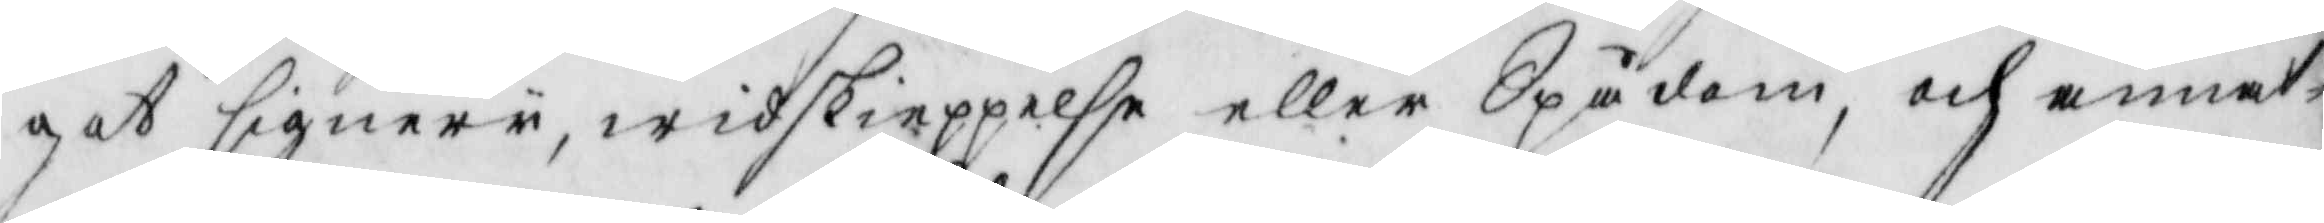got signery, widskieppelse eller Spådom, och annat
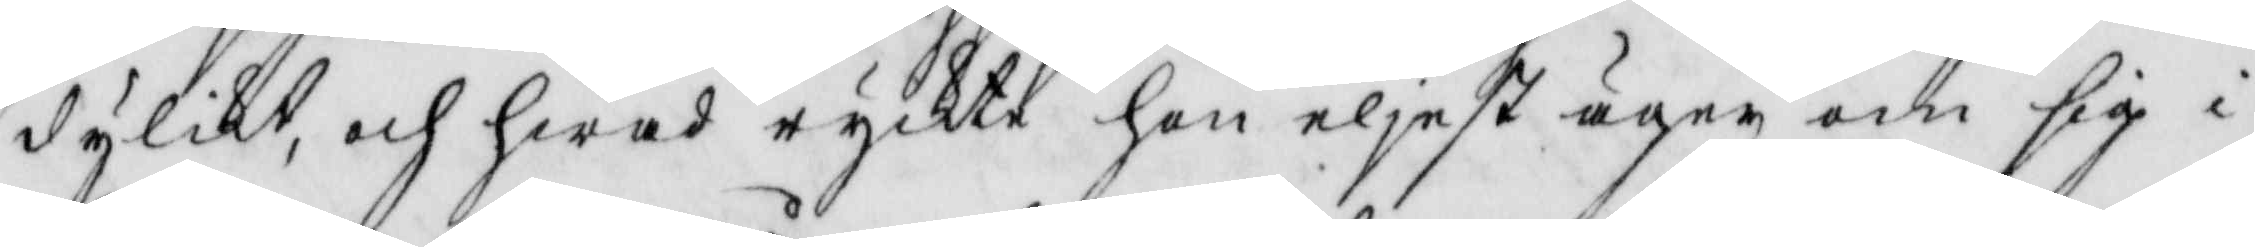dylikt, och hwad ryckte hon eljest äger om sig i
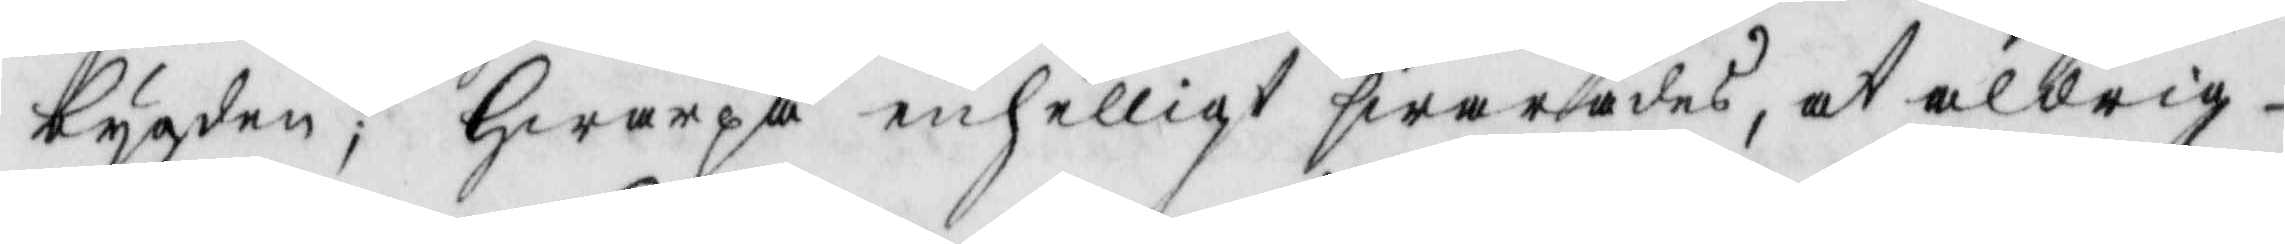bygden; Hwarpå enhelligt swarades, at aldrig
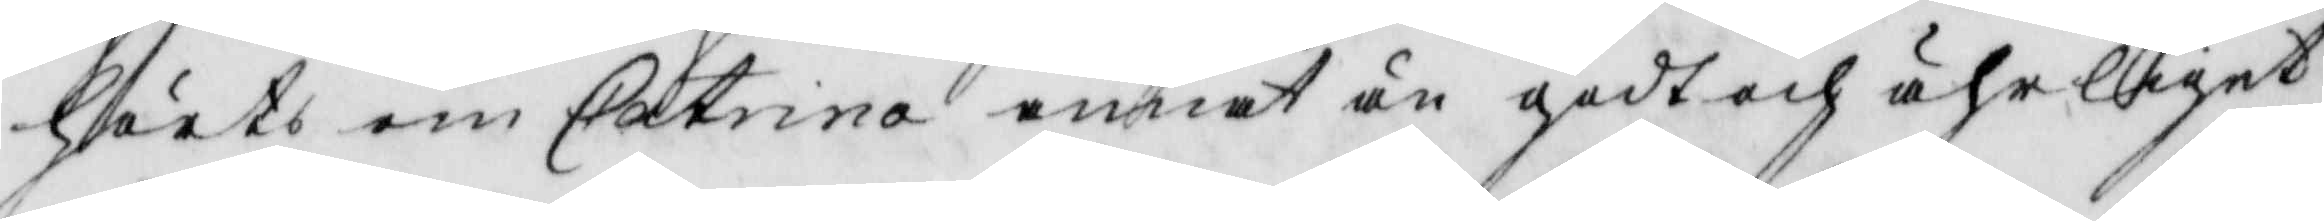hörts om catrina annat än godt och ährliget
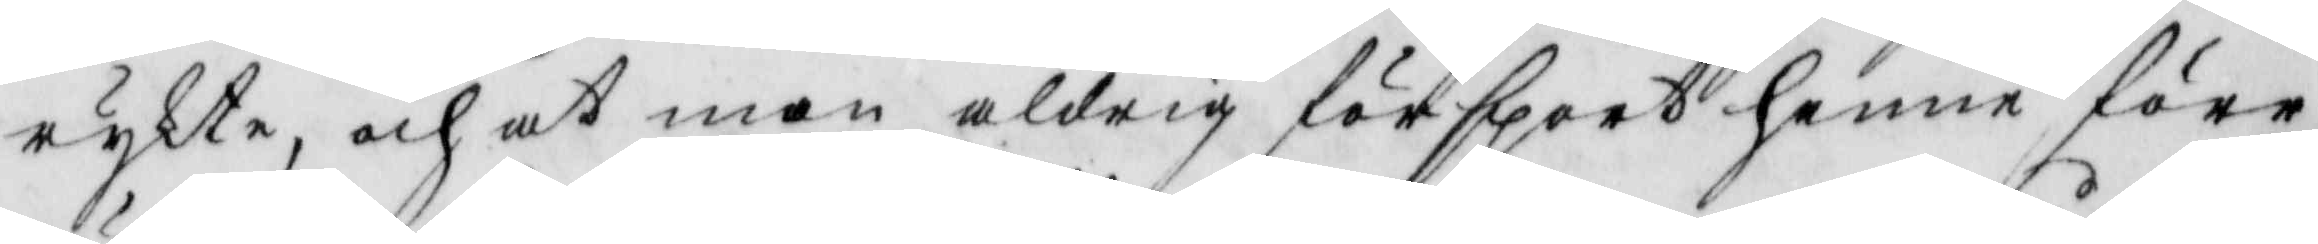rykte, och at man aldrig försport henne förr
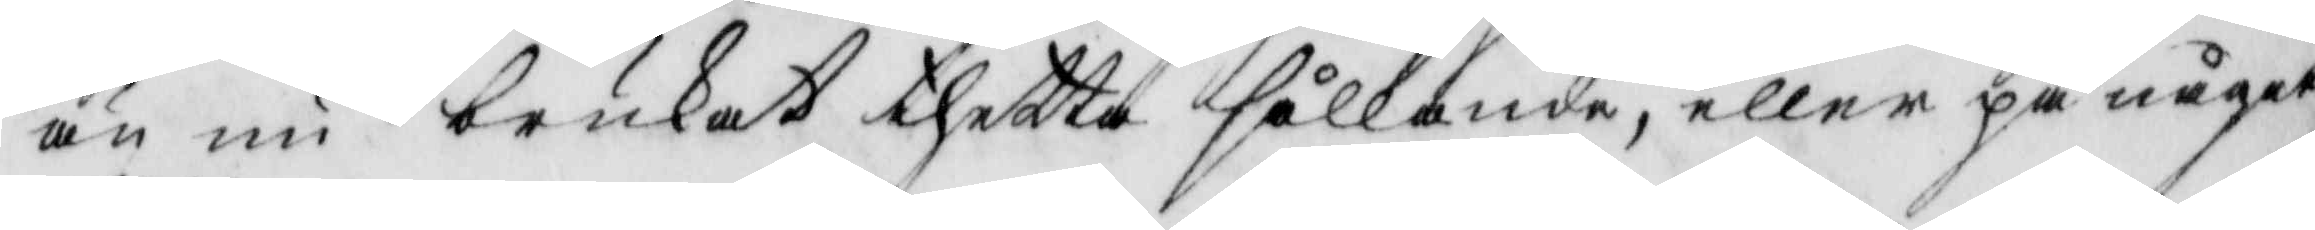än nu brukat thetta sållande, eller på något
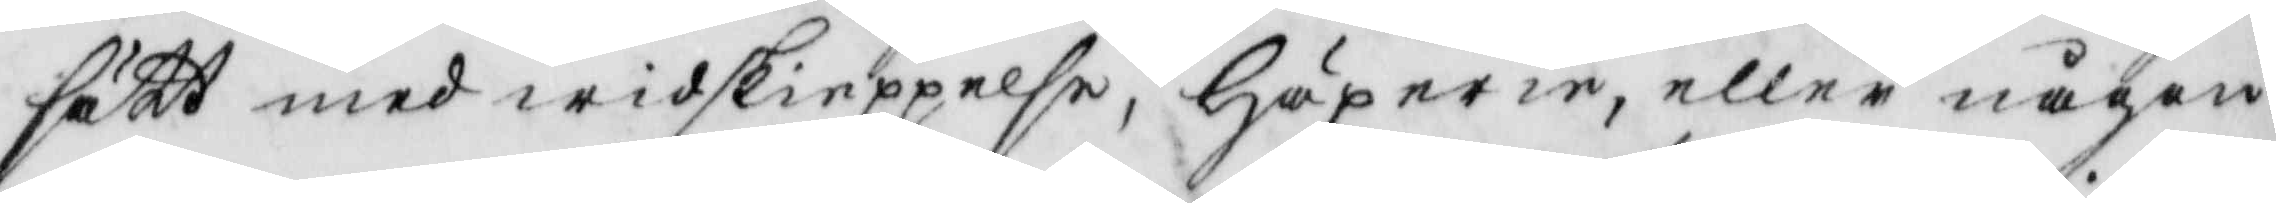sätt med widskieppelse, Häzerie, eller någon
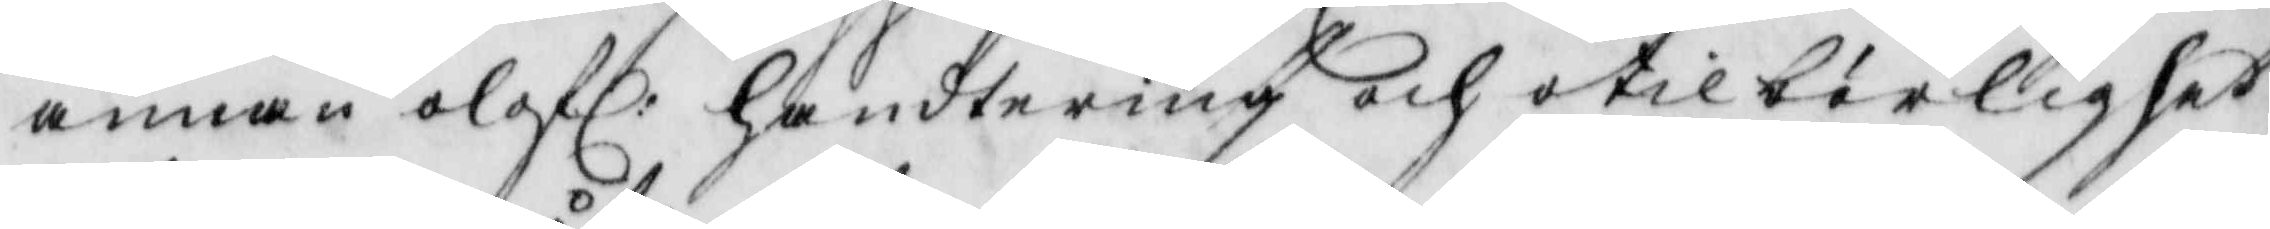annan olofl: handtering och otilbörlighet
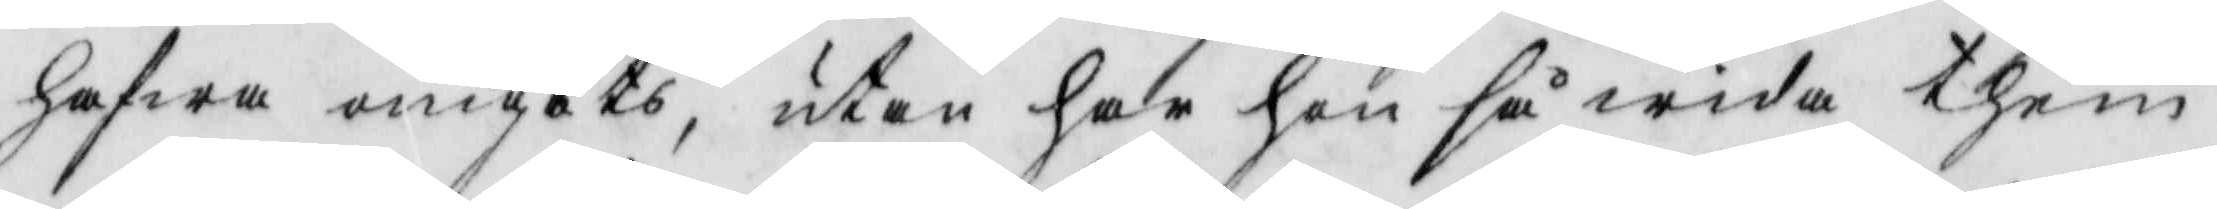hafwa umgåts, utan har hon så wida them
